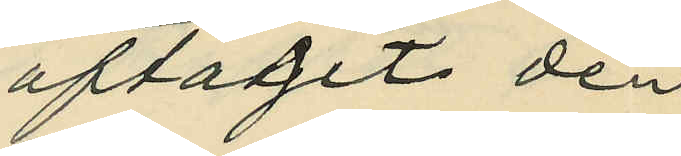aftagit den
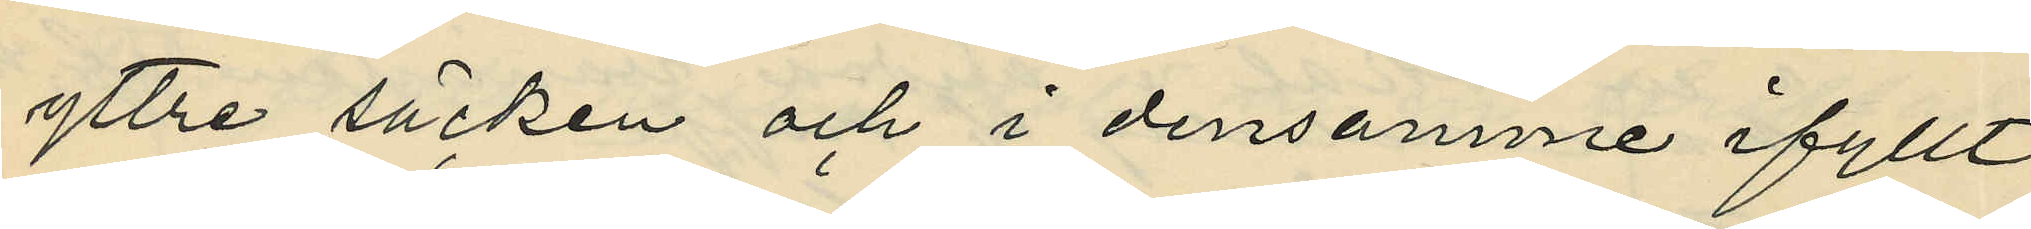yttre säcken och i densamme ifyllt
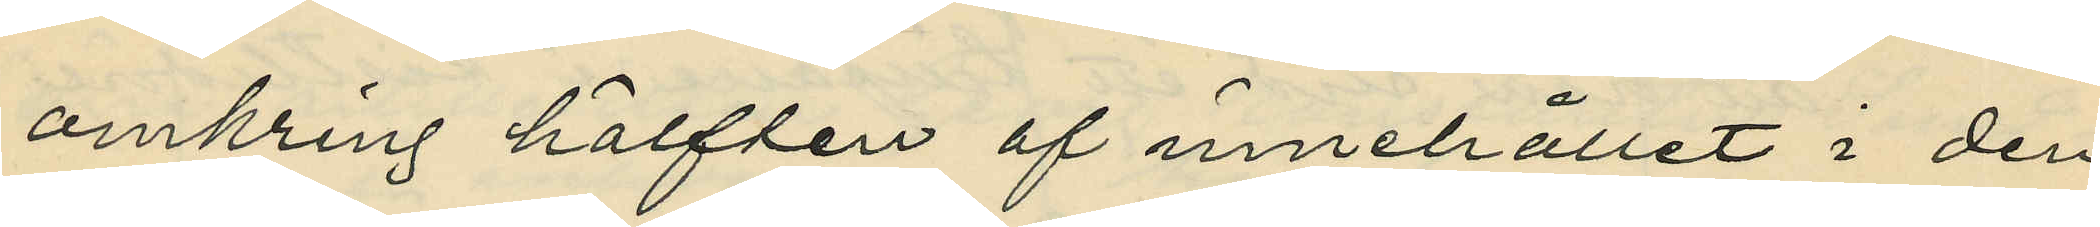omkring hälften af innehållet i den
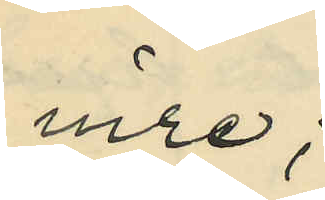inre;
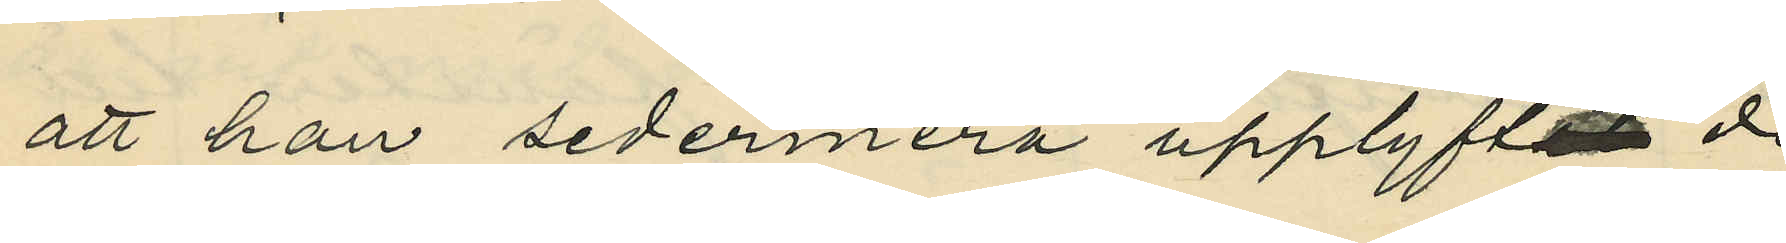att han sedermera upplyftat de
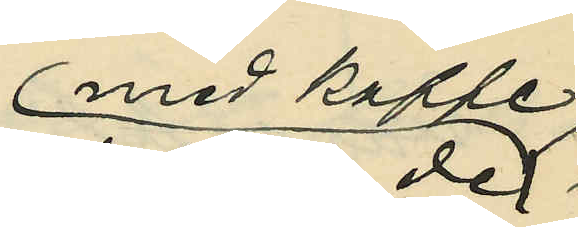med kaffe
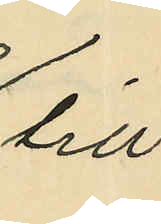till
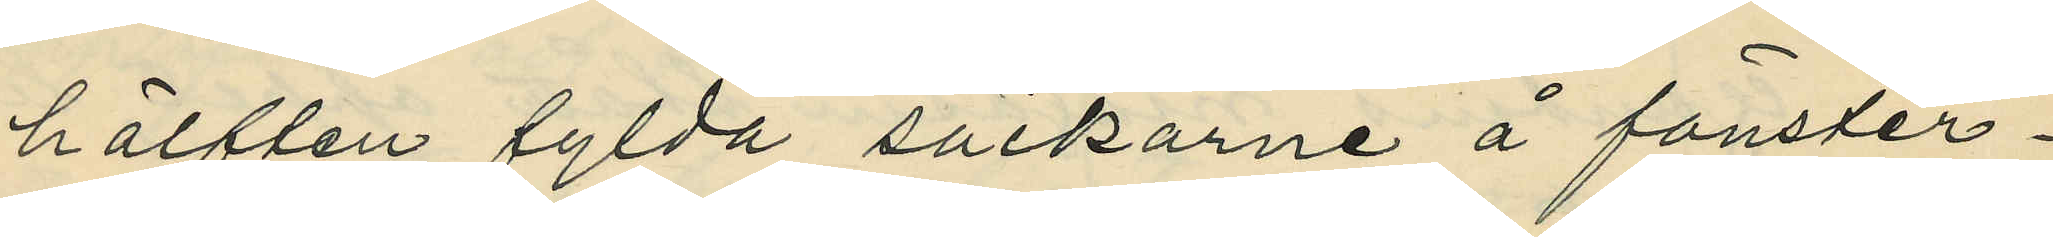hälften fylda säckarne å fönster¬
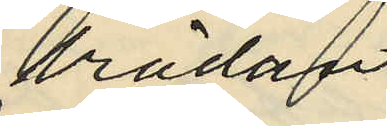brädan
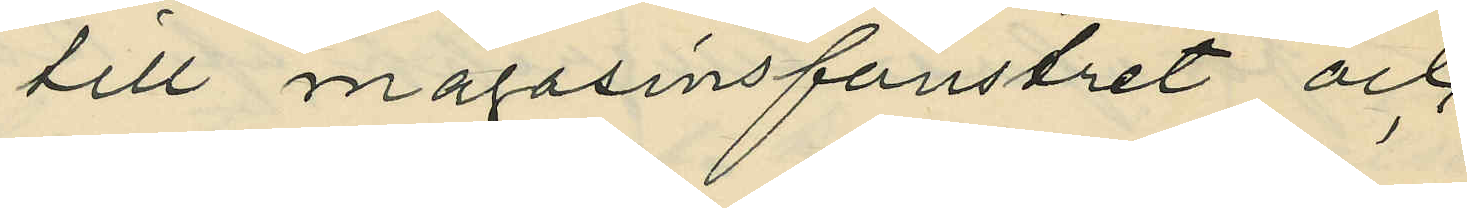till magasinsfönstret och
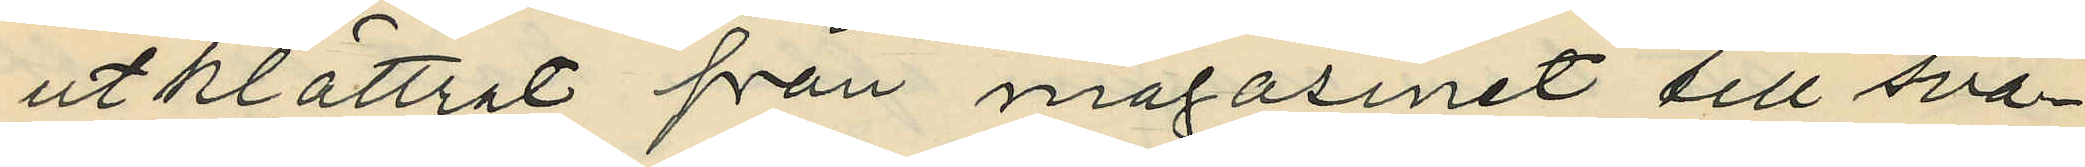utklättrat från magasinet till sva¬
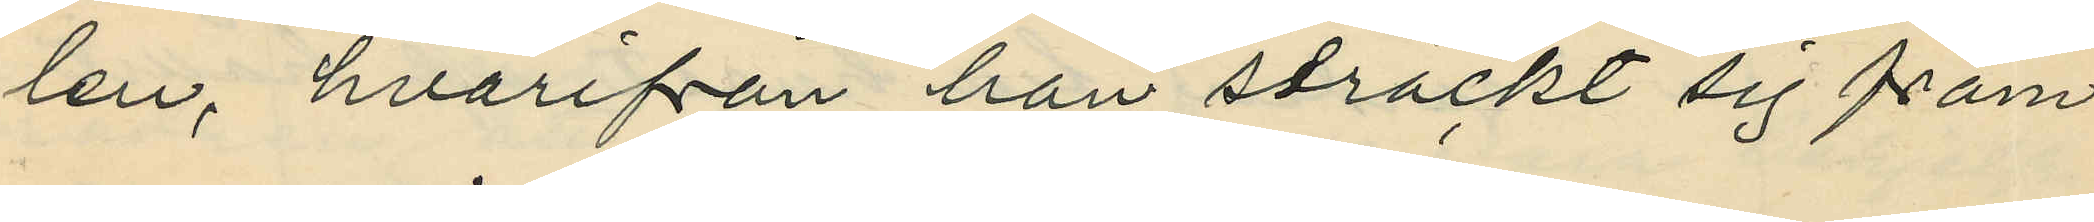len, hvarifrån han sträckt sig fram
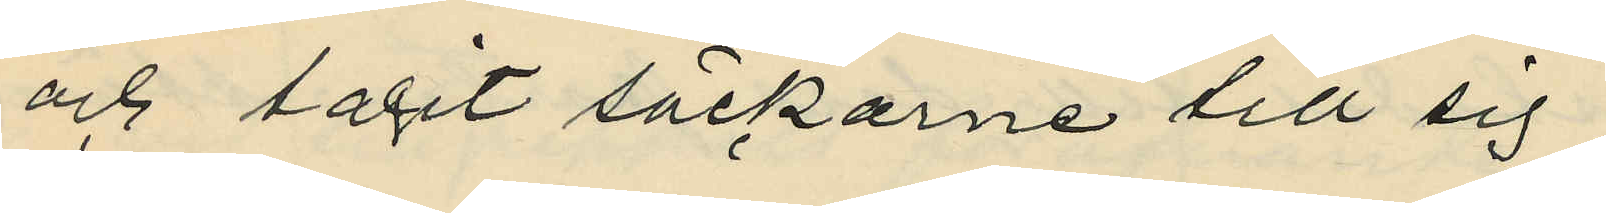och tagit säckarne till sig;
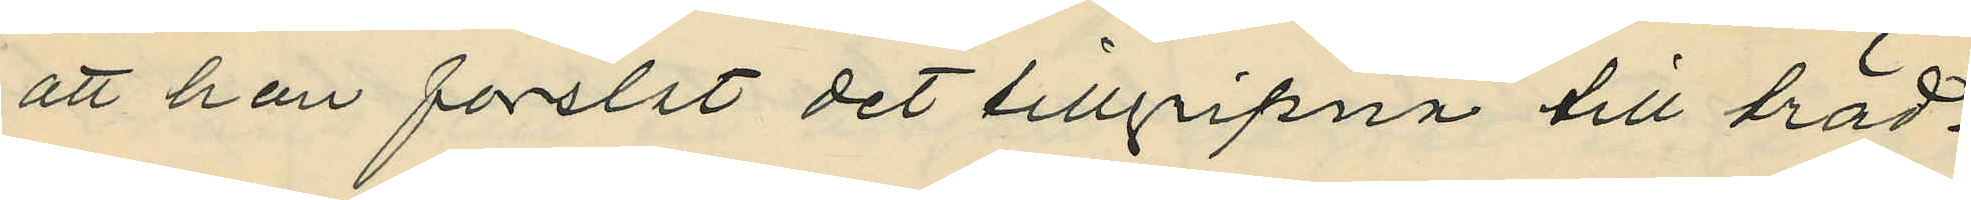att han forslat det tillgripna till träd¬
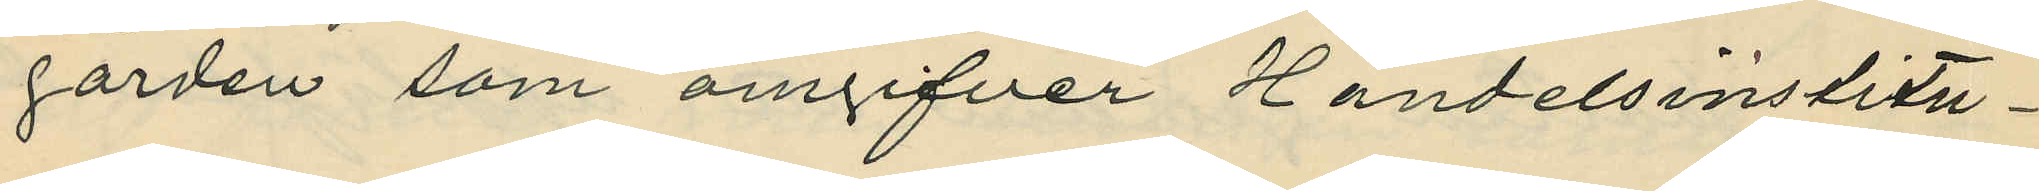gården som omgifver Handelsinstitu¬
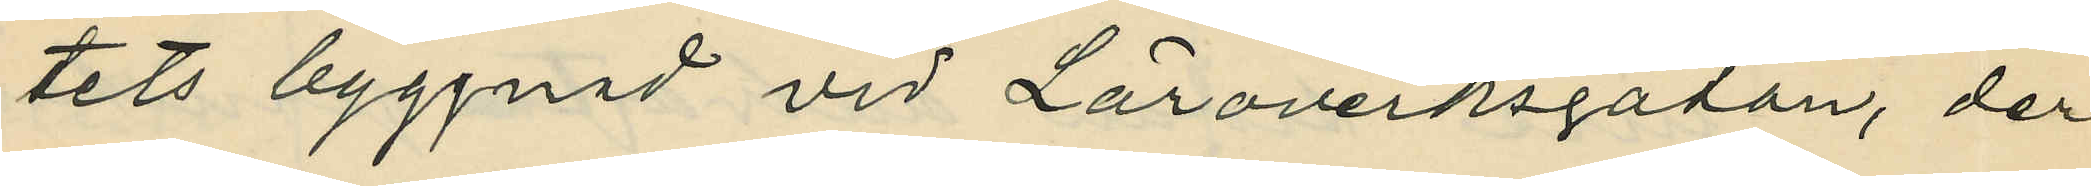tets byggnad vid Läroverksgatan, der
